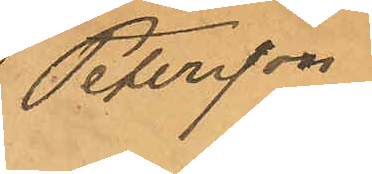Petersson
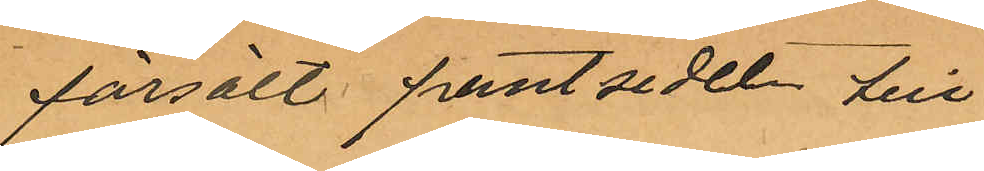försålt pantsedel till
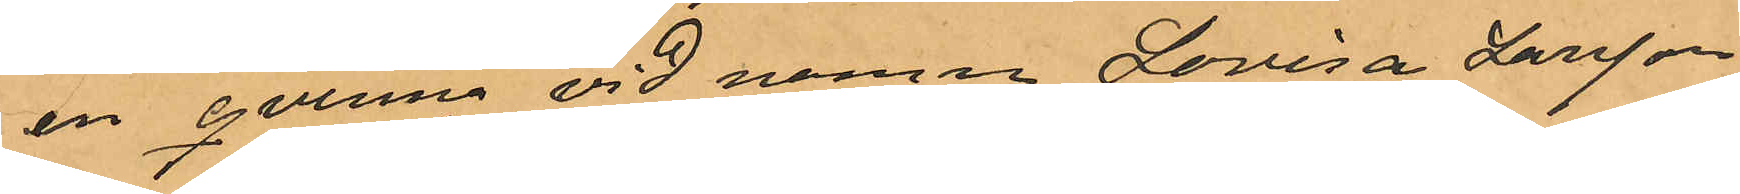en qvinna vid namn Lovisa Larsson
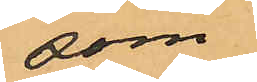som
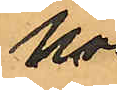hos
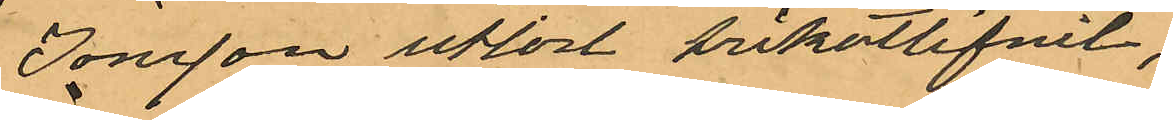Jonsson utlöst trikotlifvet,
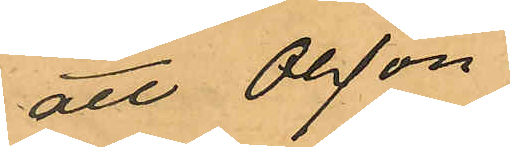att Olsson
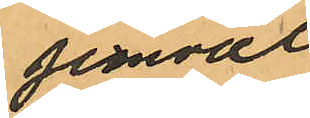jemväl
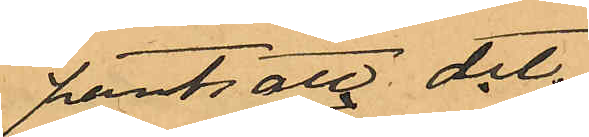pantsatt det
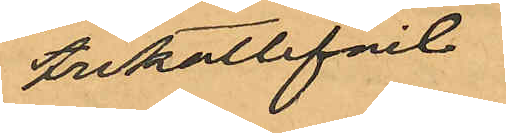trikotlif
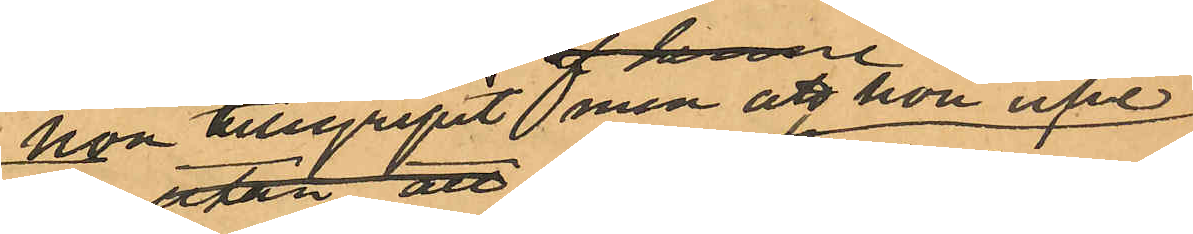hon tilgripit men att hon icke
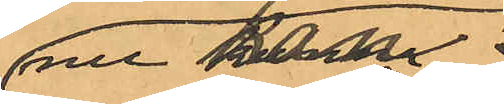nu kan
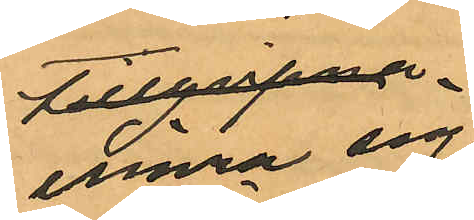erinra sig
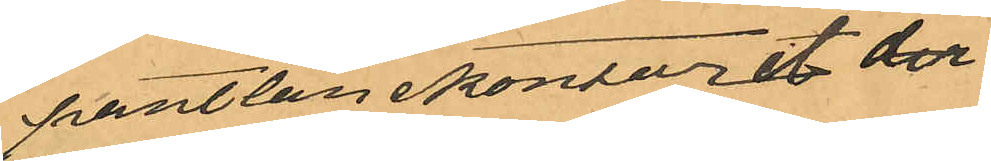pantlånekontoret der
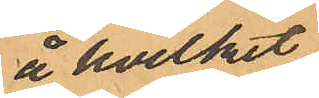å hvilket
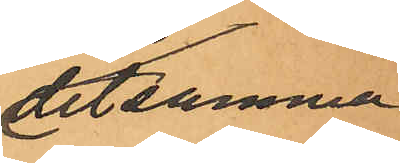detsamma
